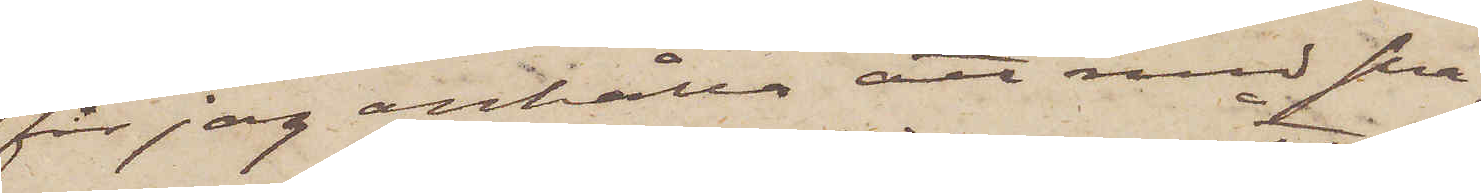får jag anhålla att med sna¬
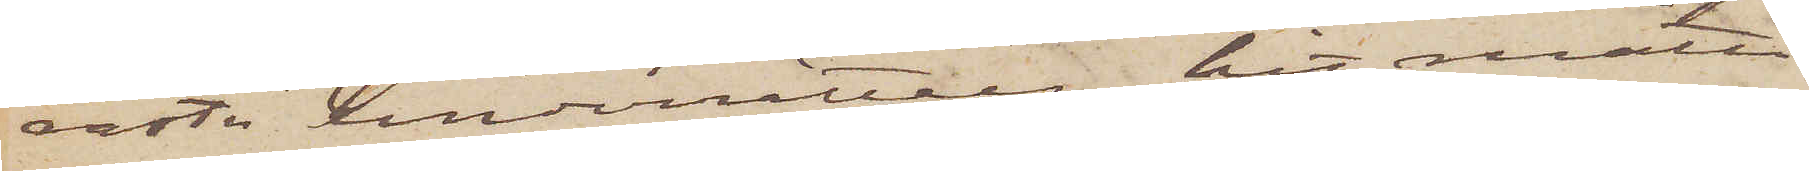raste underrättelse hit måtte
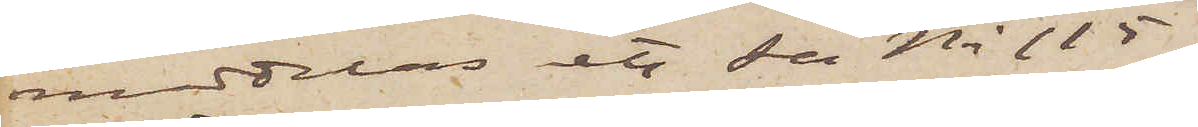meddelas etc Se No 115.
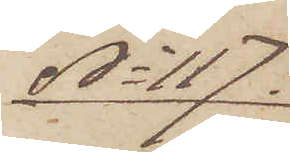No 117.
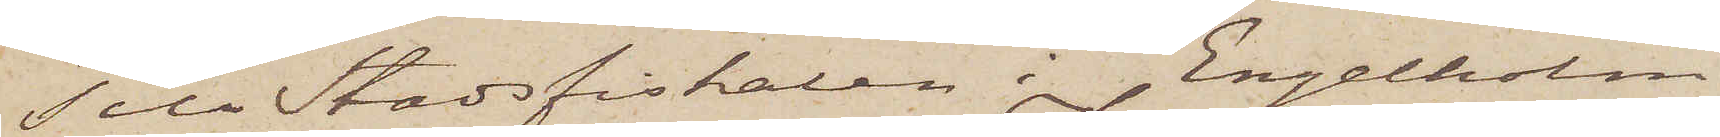Till Stadsfiskalen i Engelholm
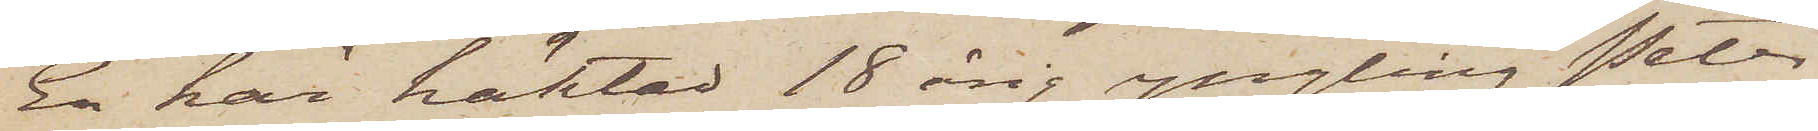En här häktad 18årig yngling Peter
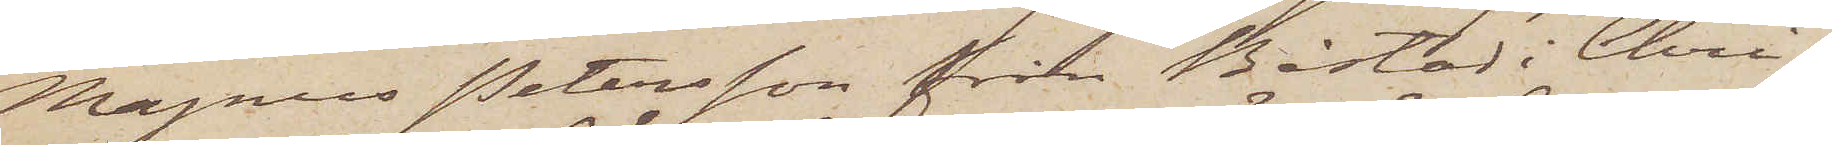Magnus Petersson från Båstad i Chri¬
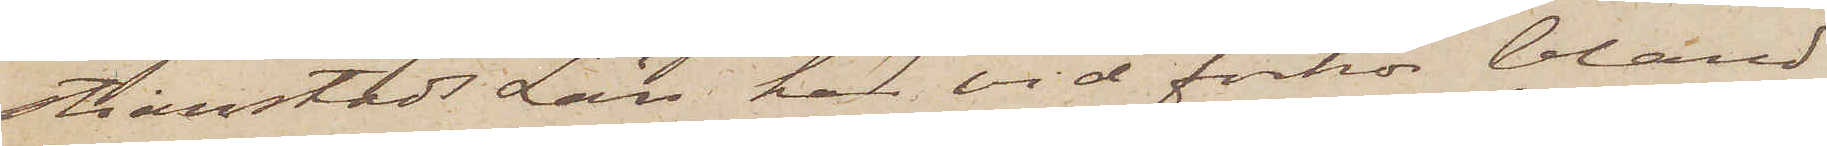stianstads Län har vid förhör bland
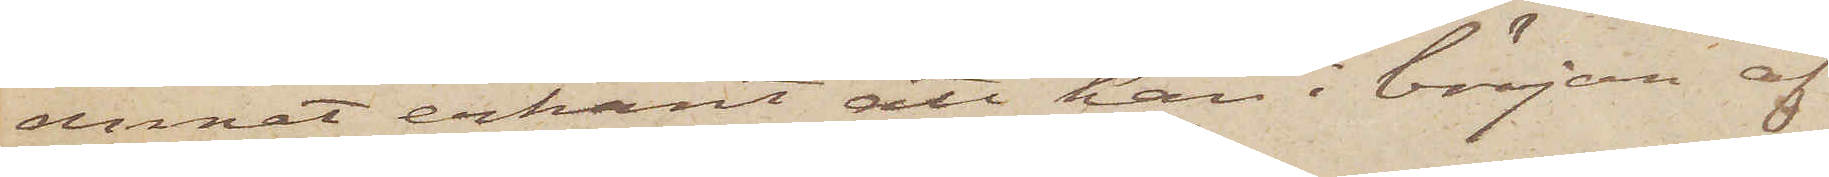annat erkänt att han i början af
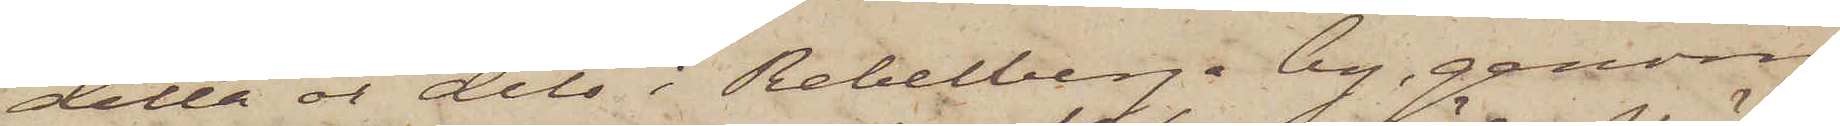detta år dels i Rebelberg by, genom
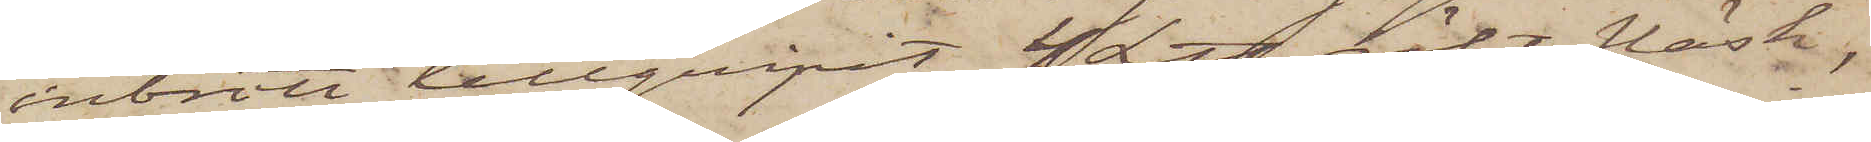inbrott tillgripit 4 L℔ rökt fläsk,
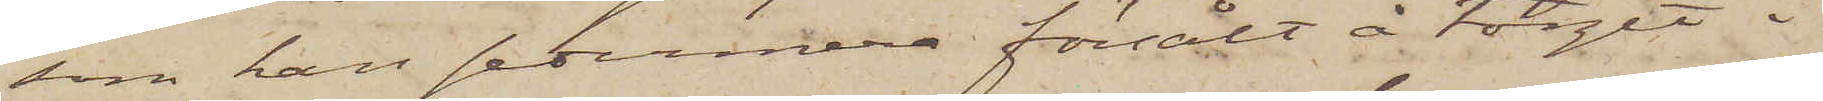som han sedermera försålt å torget i
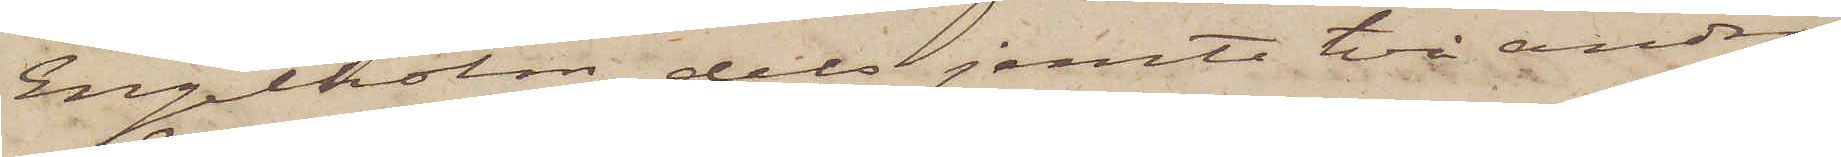Engelholm, dels jemte två andra
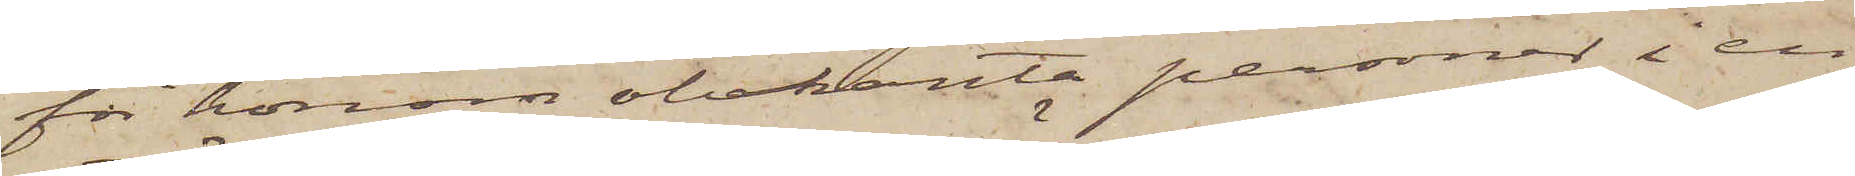för honom obekanta personer i en
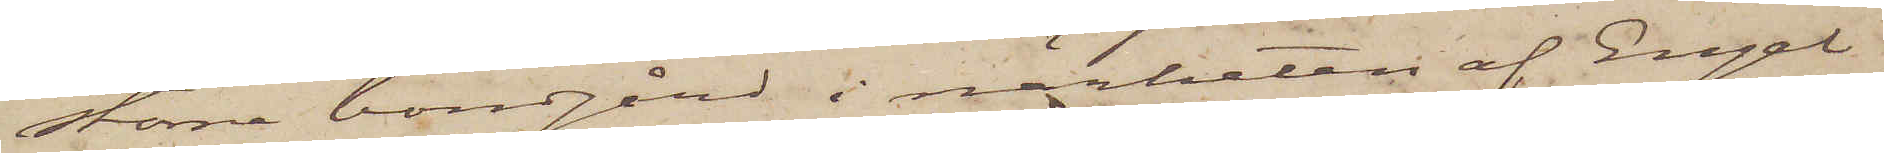större bondgård i närheten af Engel¬
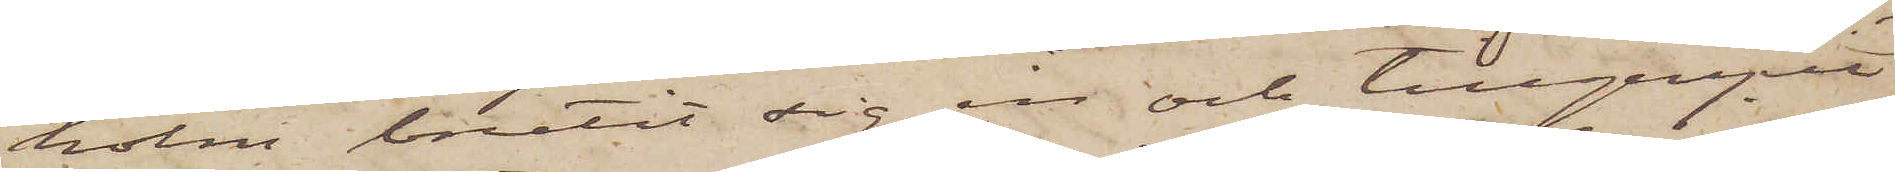holm brutit sig in och tillgripit
